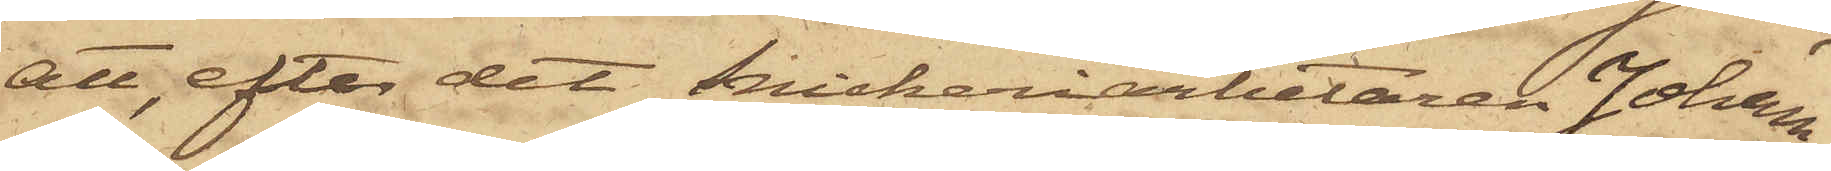att, efter det Snickeriarbetaren Johan
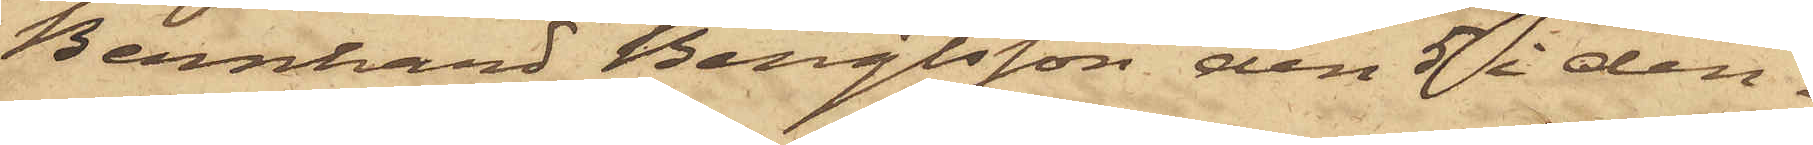Bernhard Bengtsson den 5 i den¬
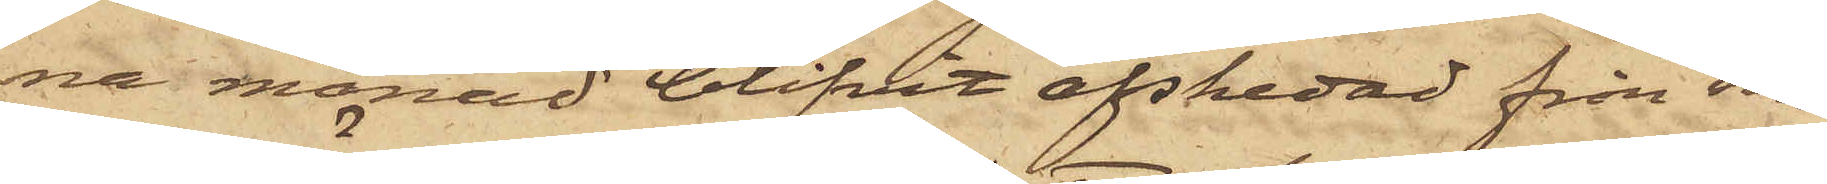na månad blifvit afskedad från sin
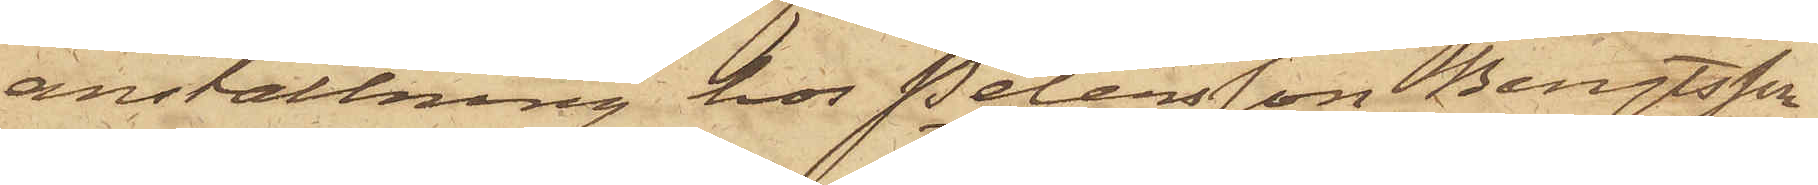anställning hos Petersson, Bengtsson
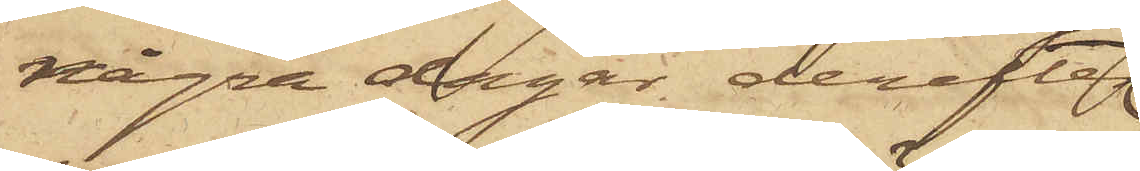några dagar derefter
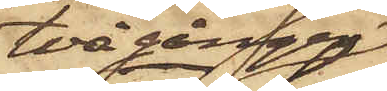två gånger
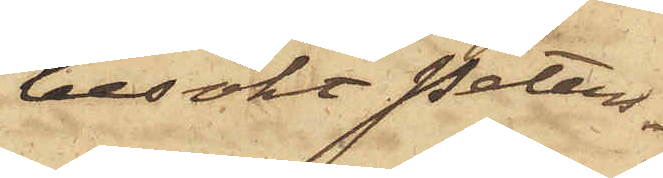besökt Peters¬
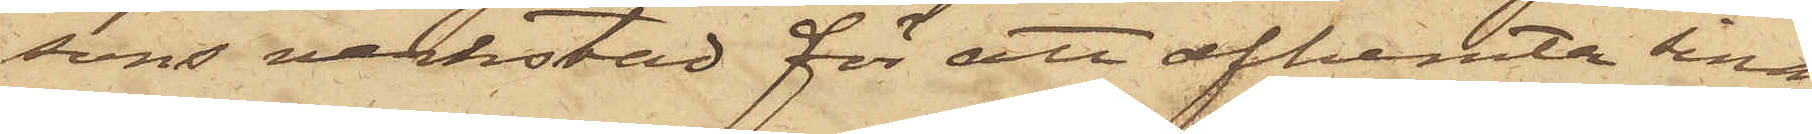sons verkstad för att afhemta sina
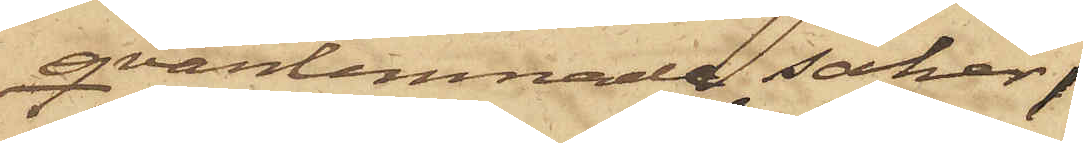qvarlemnade saker,
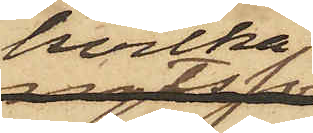hvilka
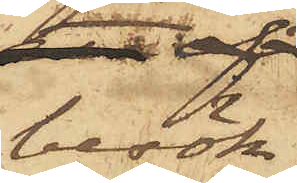besök
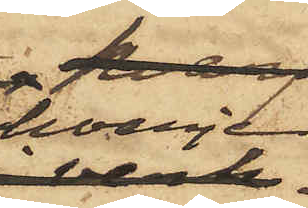hvarje
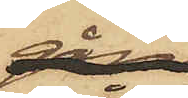gång
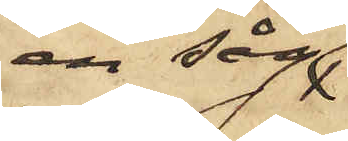en såg
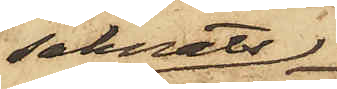saknats;
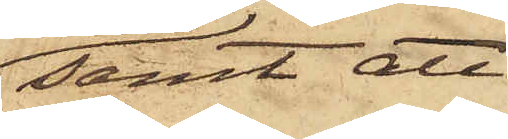samt att
